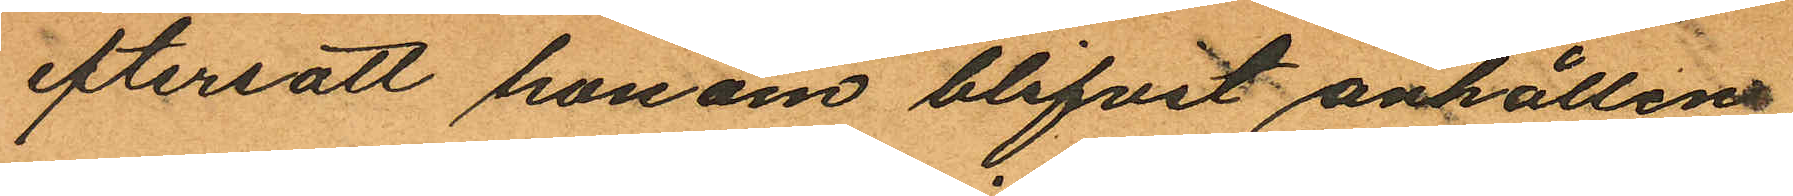eftersatt honom blifvit anhållen
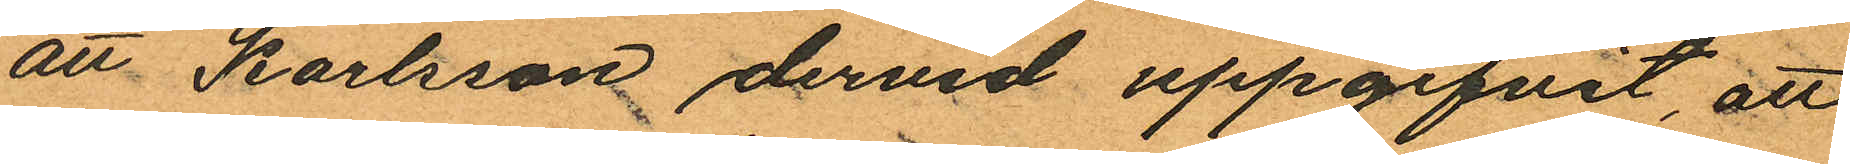att Karlsson dervid uppgifvit, att
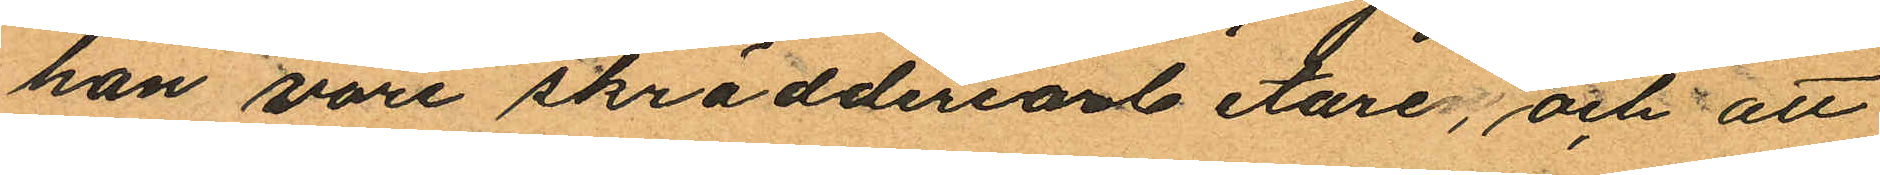han vore skrädderiarbetare; och att
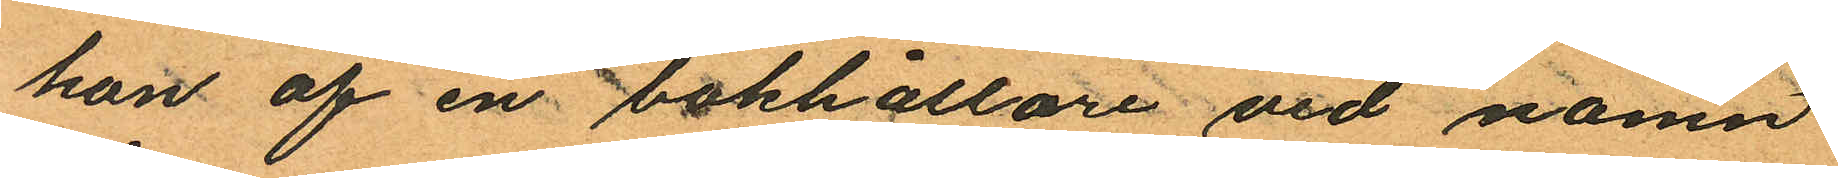han af en bokhållare vid namn
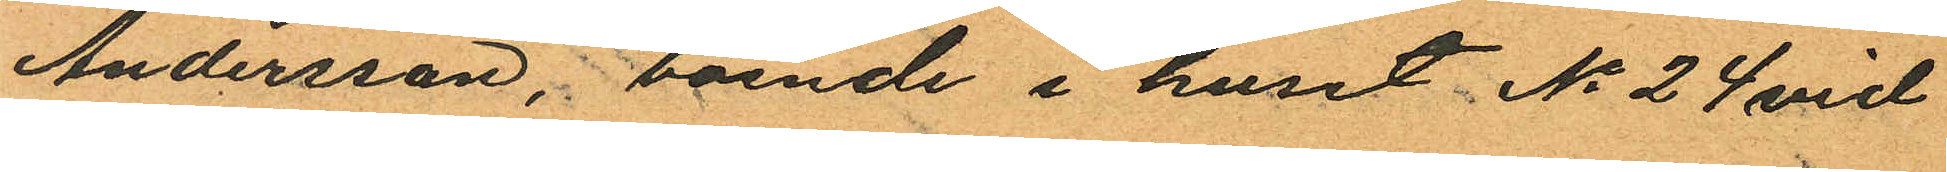Andersson, boende i huset No 24 vid
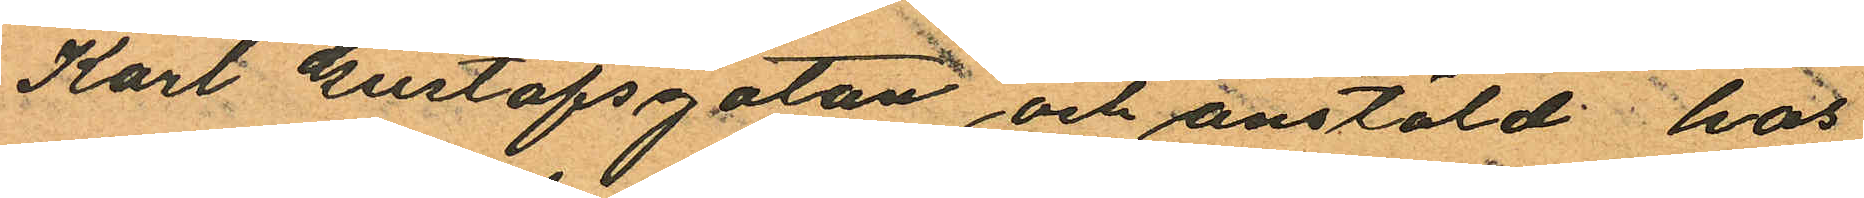Karl Gustafsgatan och anstäld hos
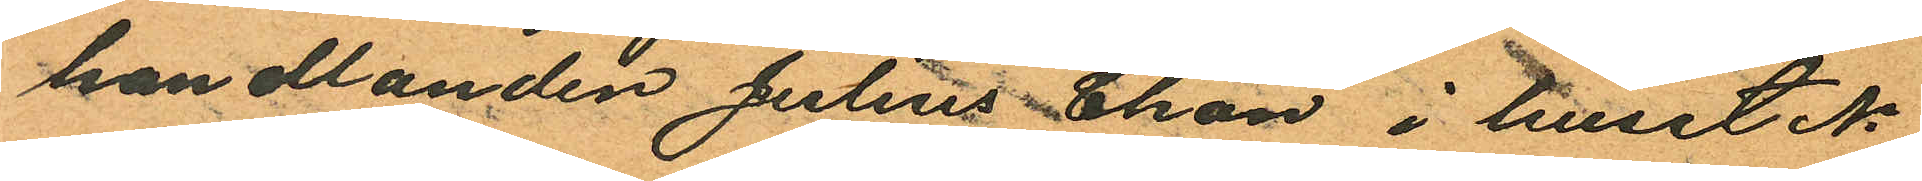handlanden Julius Chon i huset No
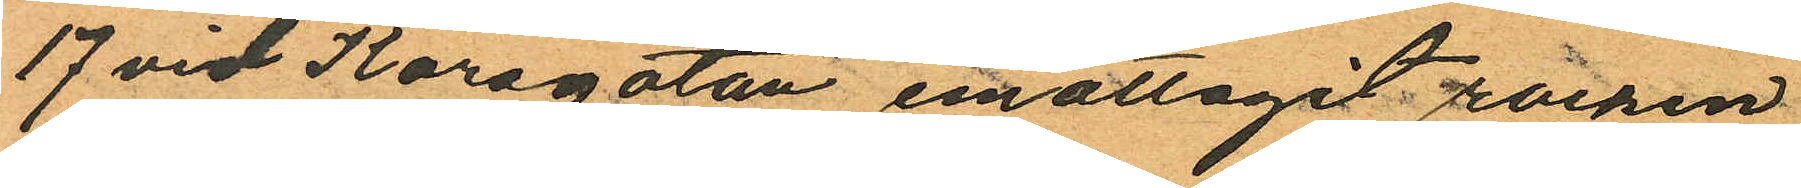17 vid Korsgatan emottagit rocken
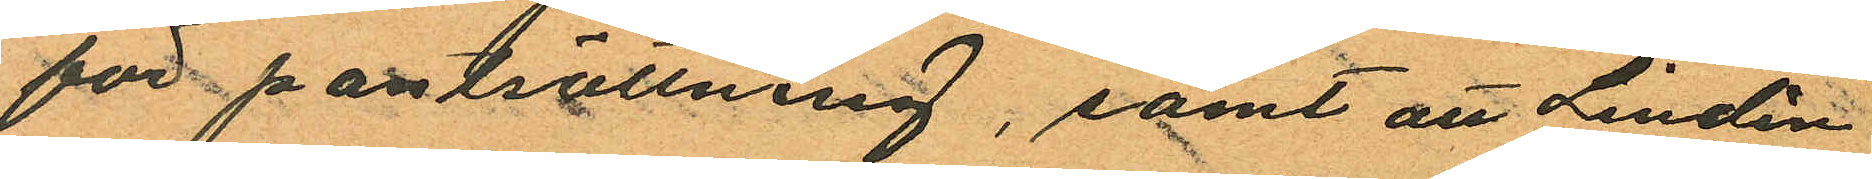för pantsättning, samt att Lindén
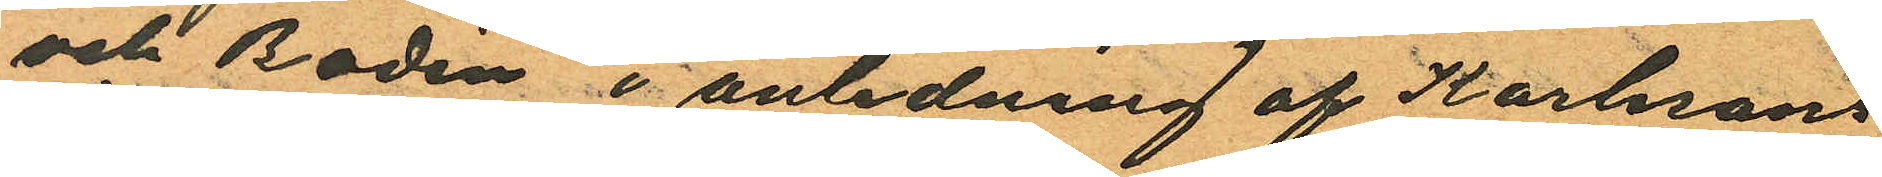och Bodén i anledning af Karlssons
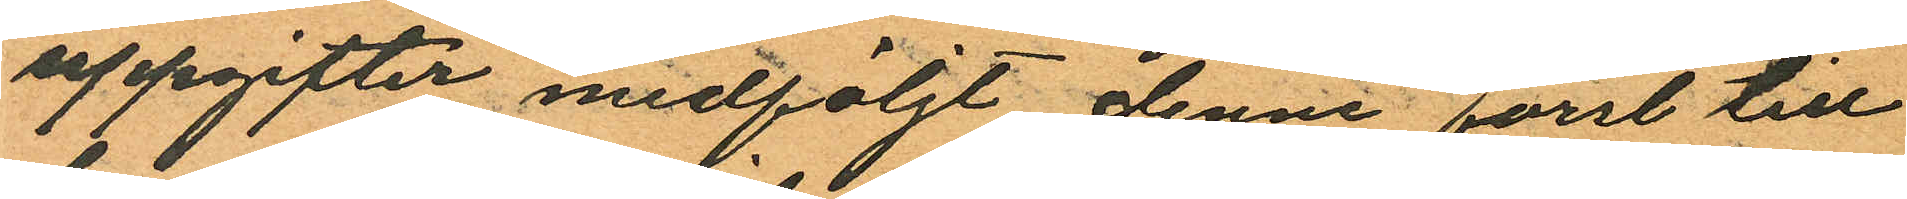uppgifter medföljt denne först till
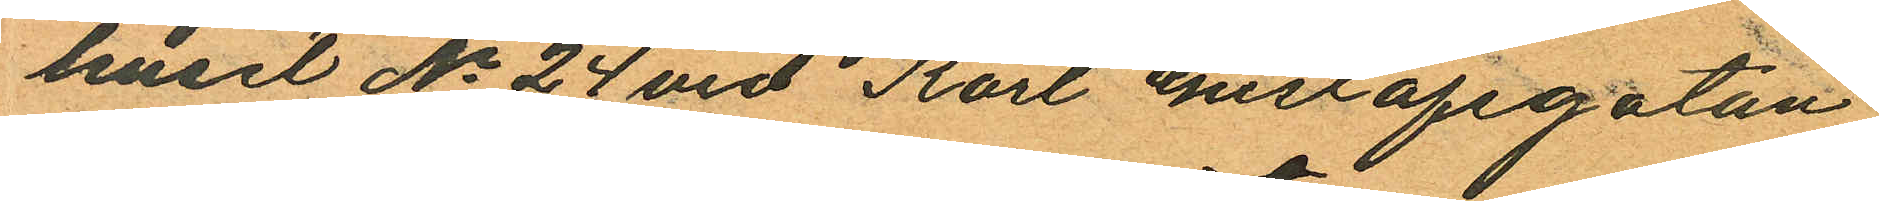huset No 24 vid Karl Gustafsgatan
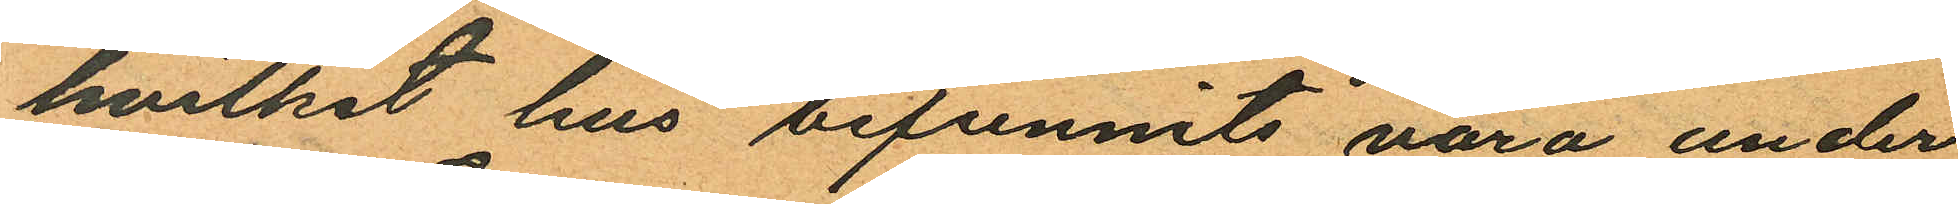hvilket hus befunnits vara under
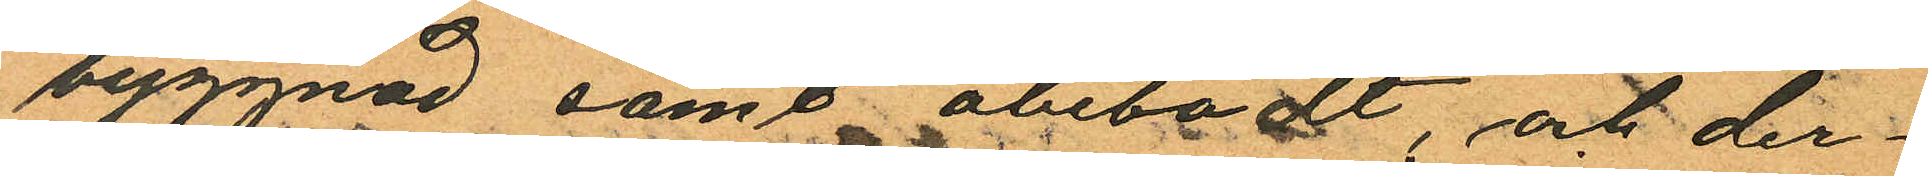byggnad samt obebodt, och der¬
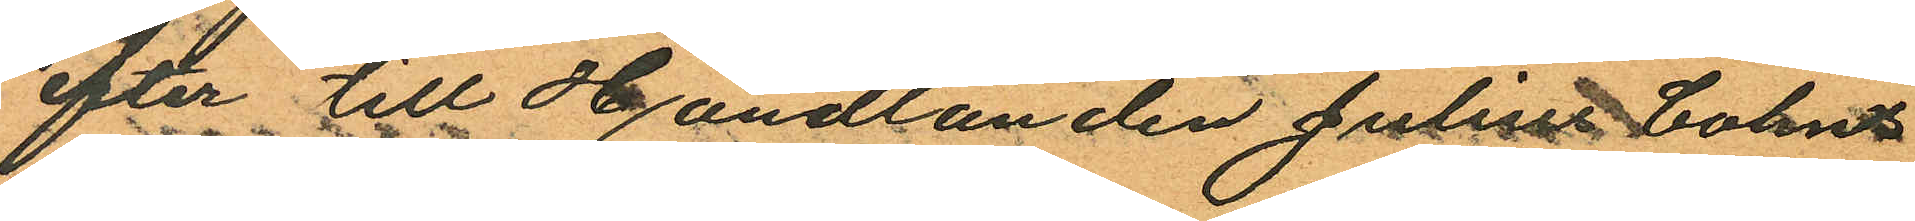efter till Handlanden Julins Cohns
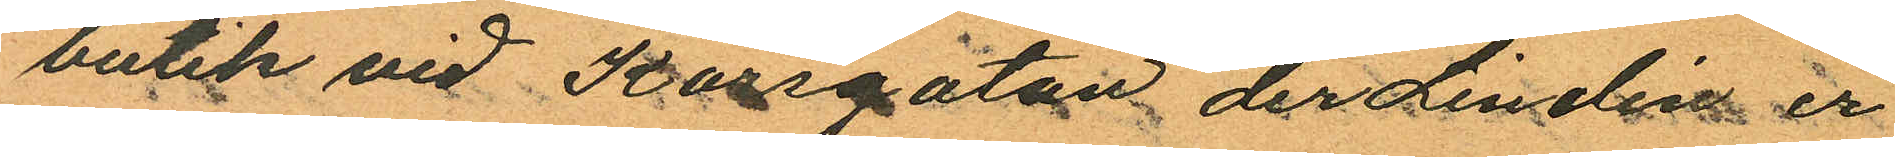butik vid Korsgatan der Lindén er
